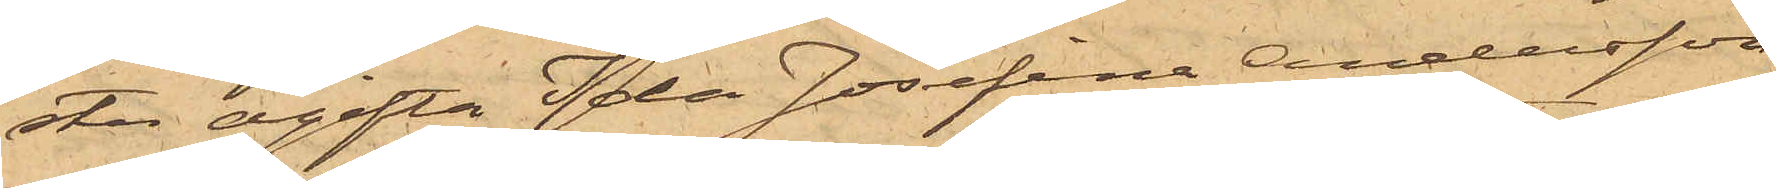ster ogifta Ida Josefina Andersson
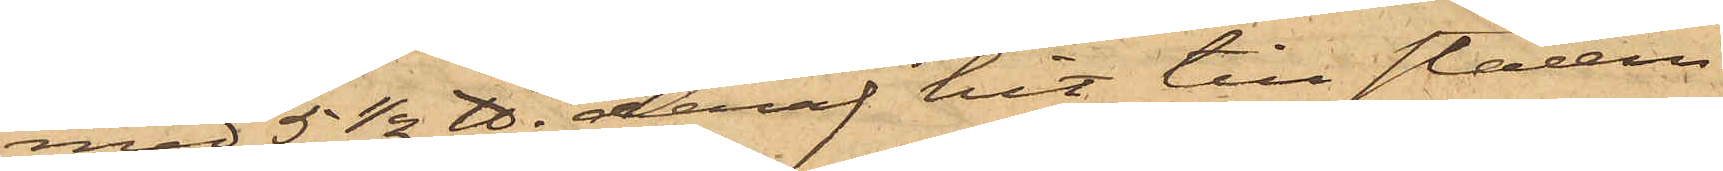med 5 1/2 ℔. deraf hit till staden
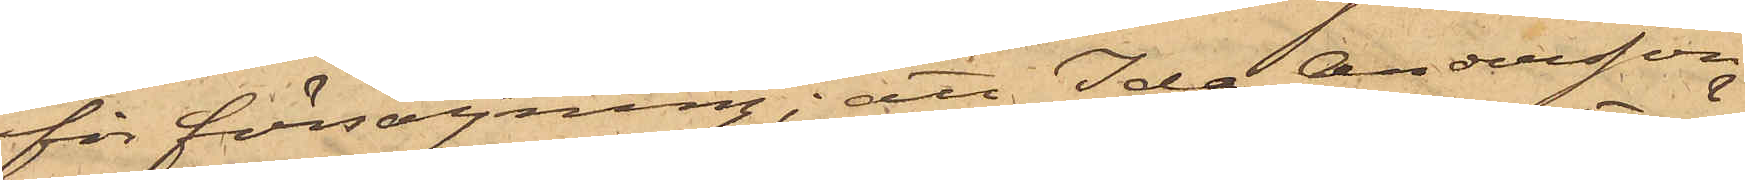för försäljning; att Ida Andersson
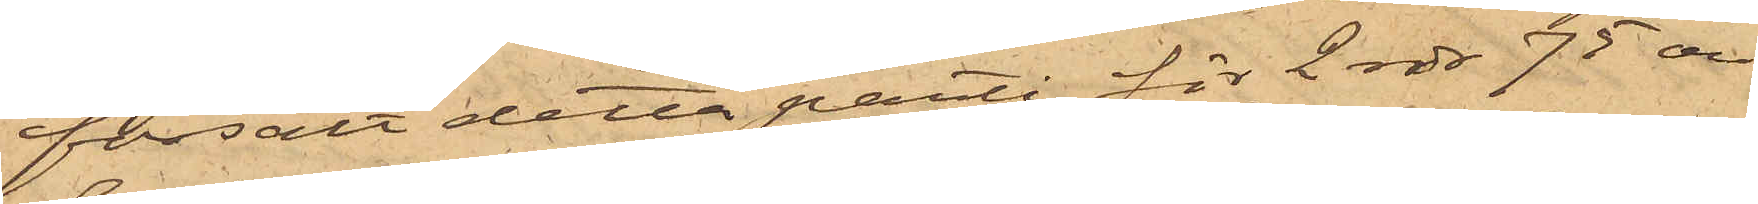försålt detta parti för 2 rdr 75 öre
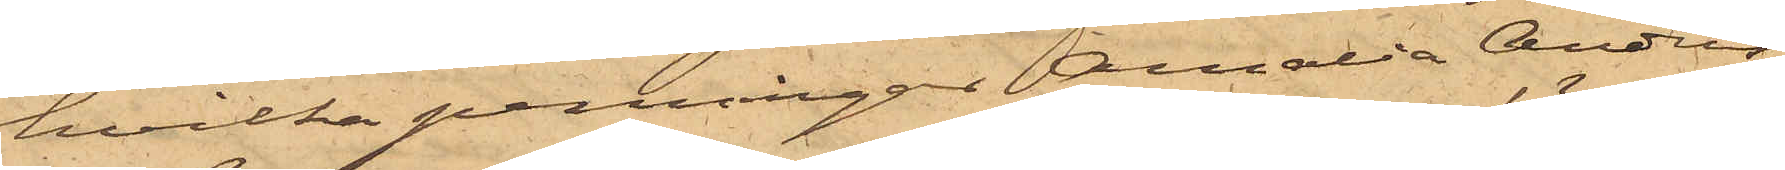hvilka penningar Amalia Anders¬
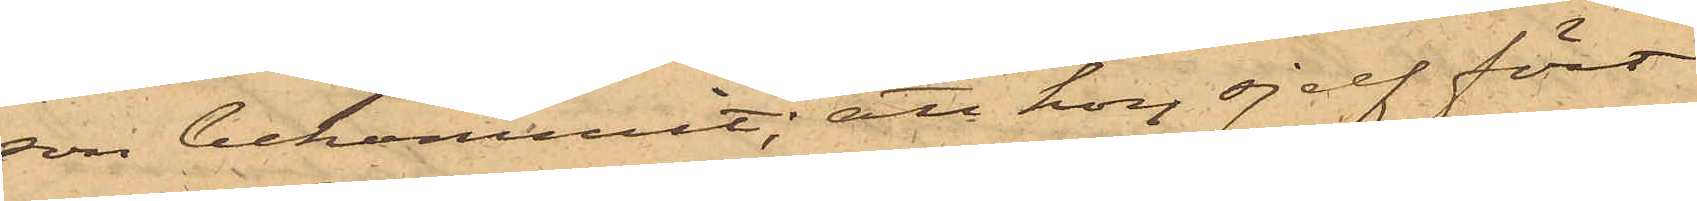son bekommit; att hon sjelf fört
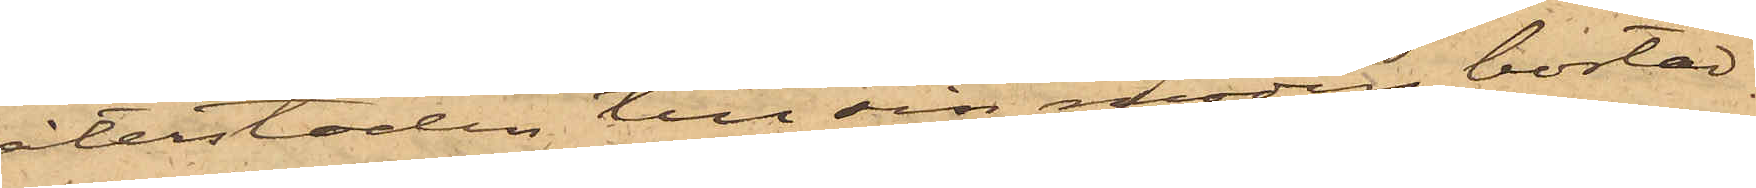återstoden till sin moders bostad
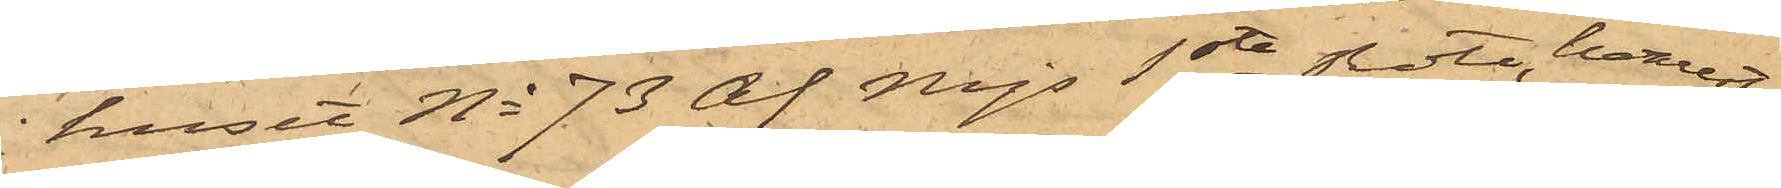huset No 73 af Mjs 1ste Rote, hvarest
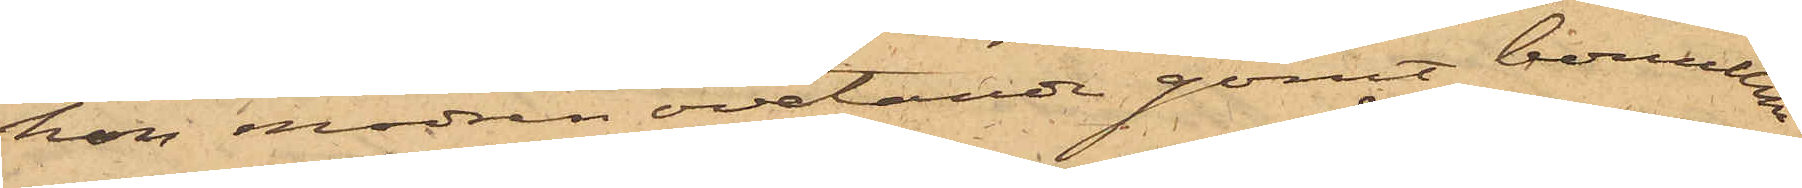hon modren ovetande gömt bomullen
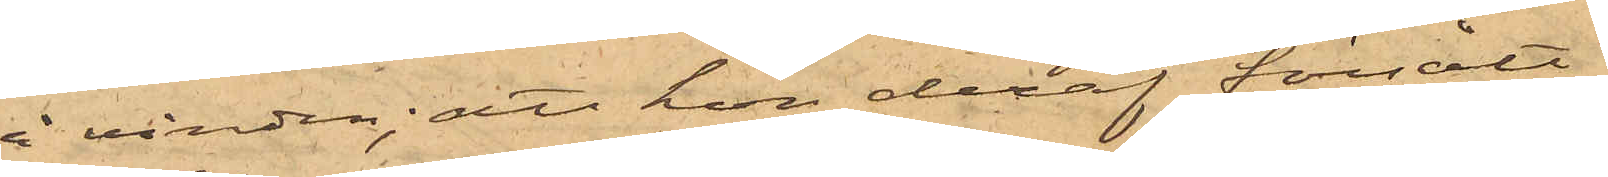å vinden; att hon deraf försålt
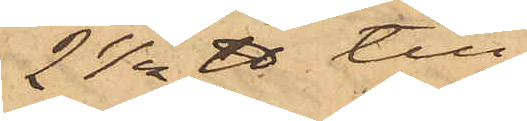2 1/2 ℔ till
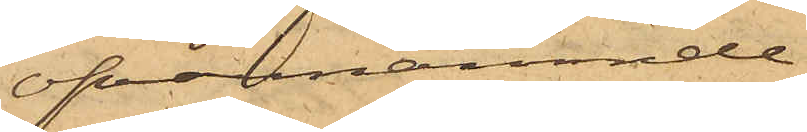ofvannämnde
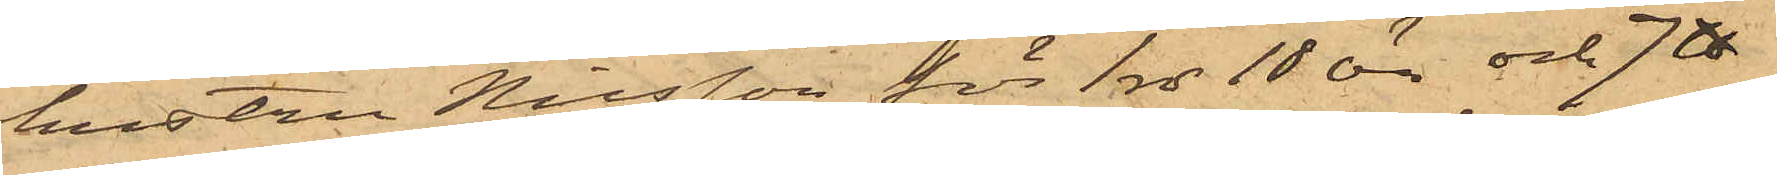hustru Nilsson för 1 rdr 18 öre och 7 ℔
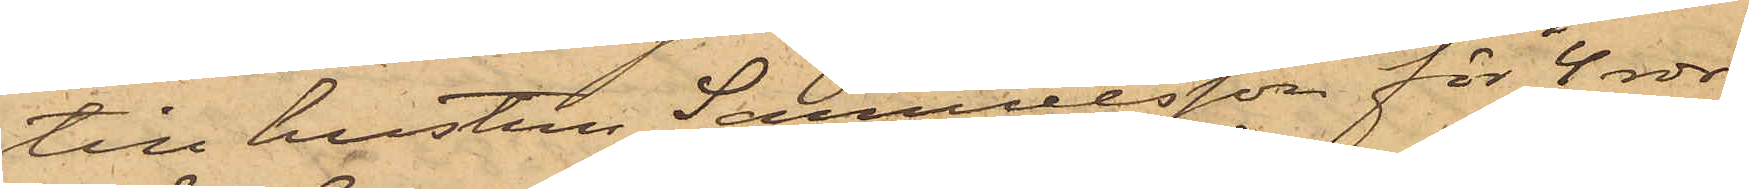till hustru Samuelsson för 4 rdr
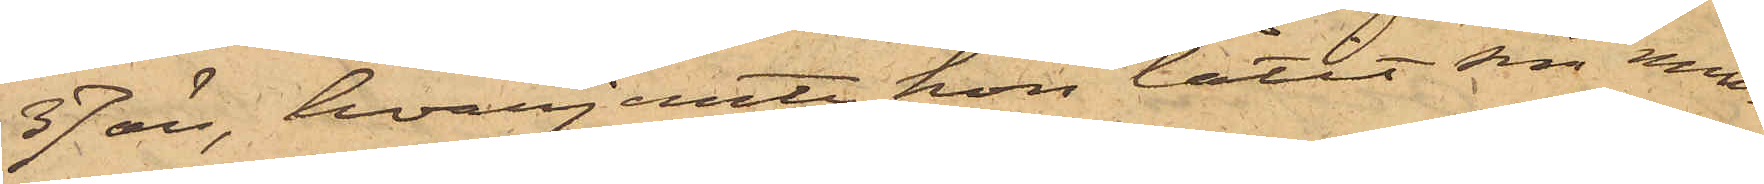37 öre, hvarjemte hon låtit sin min¬
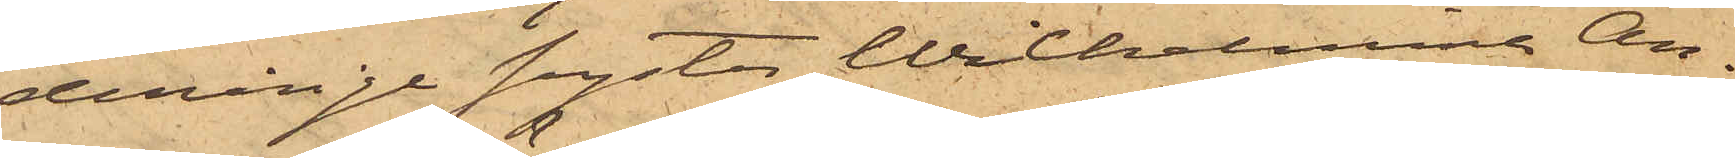derårige syster Wilhelmina An¬
